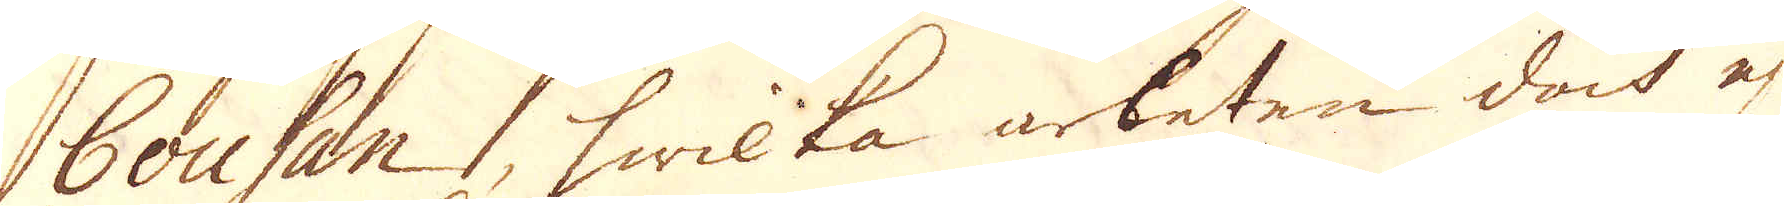Couhan, hwilka arbeten doch ej
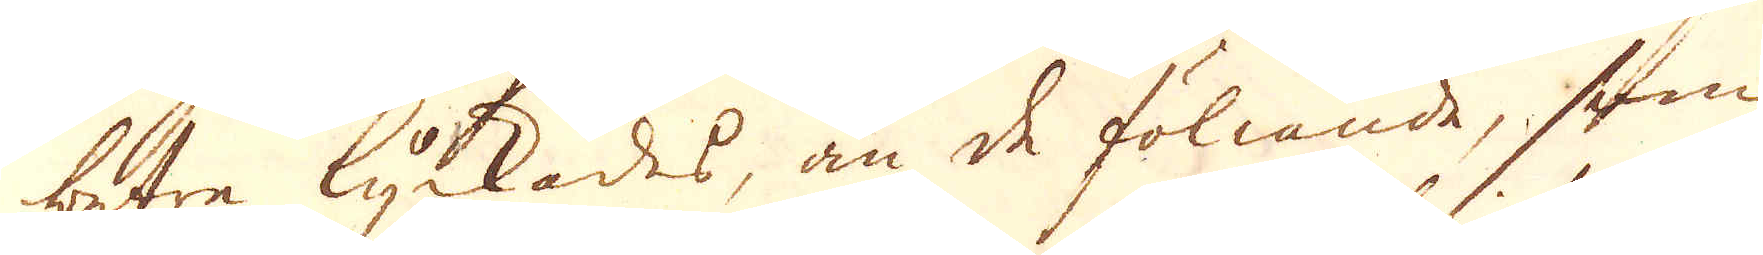betre lyckades, än de föliande, som
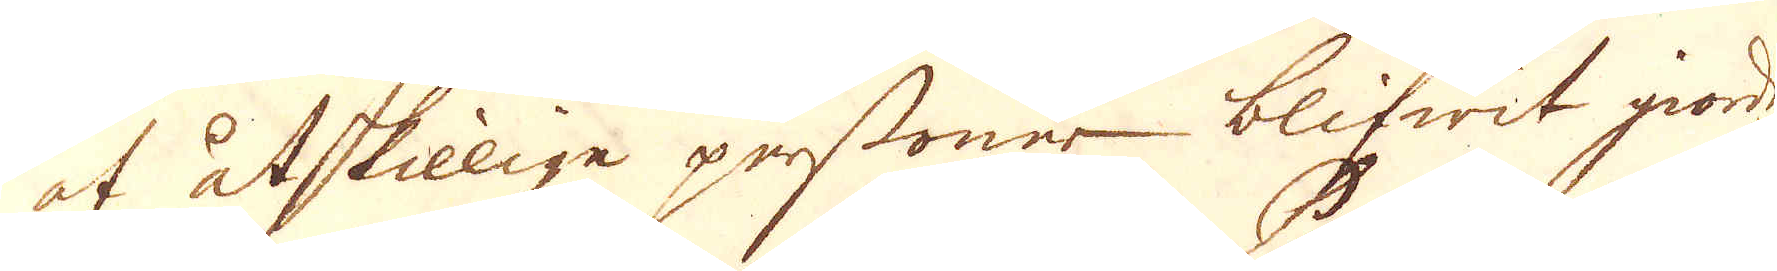af åtskillige personer blifwit giorde
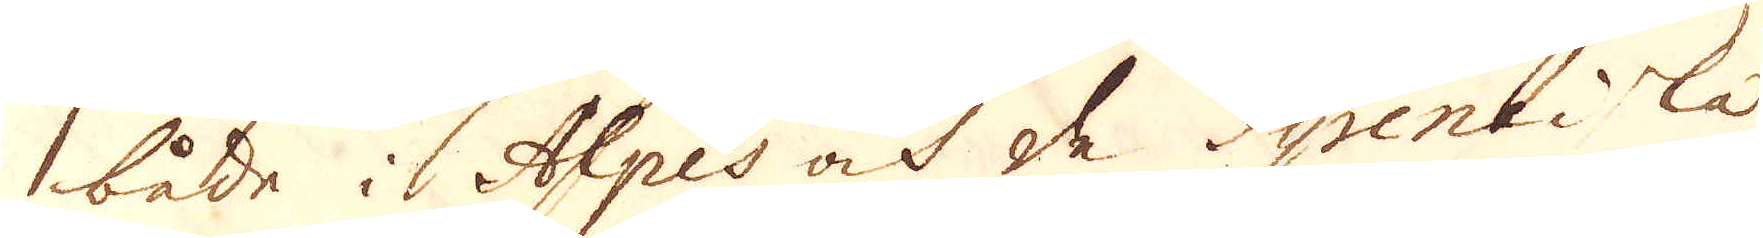både i Alpes och de Pyreneiska
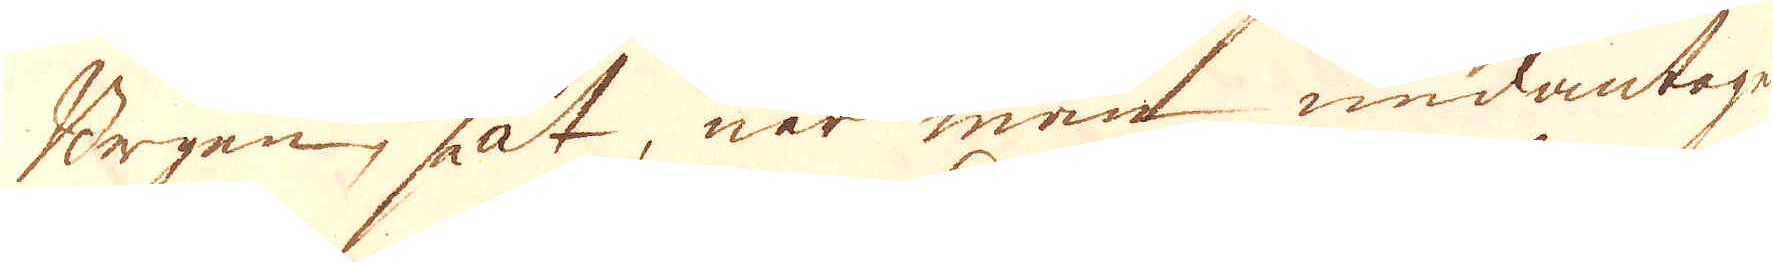Bergen, så at, när man undantagne
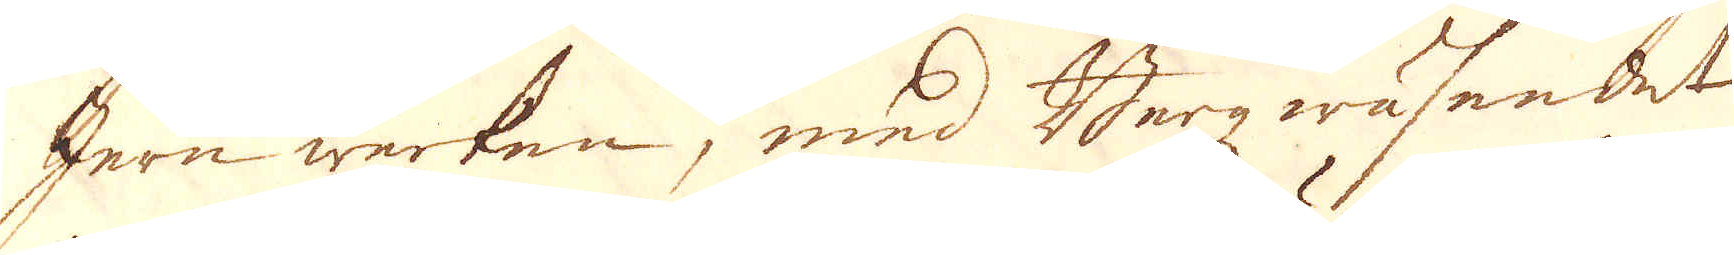Jern werken, med Berg wäsendet
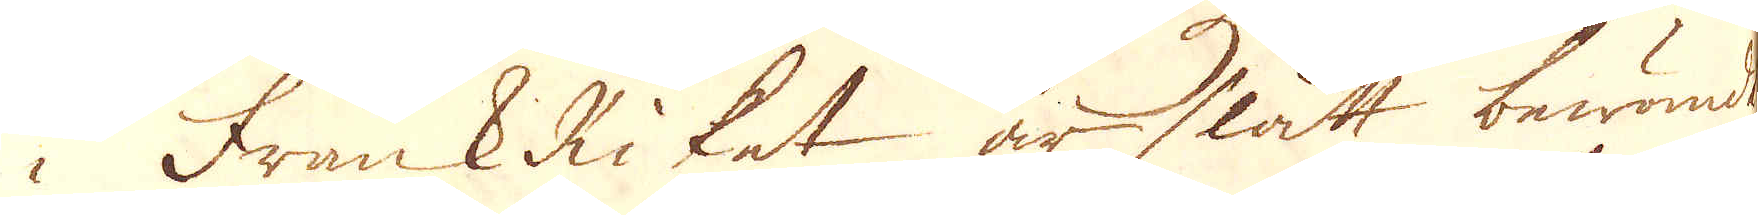i FrankRiket är slätt bewändt
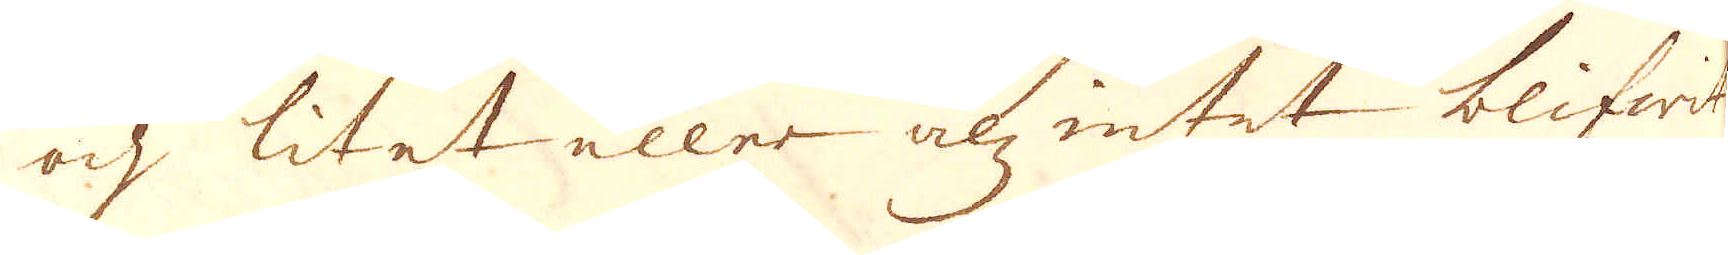och litet eller alz intet blifwit
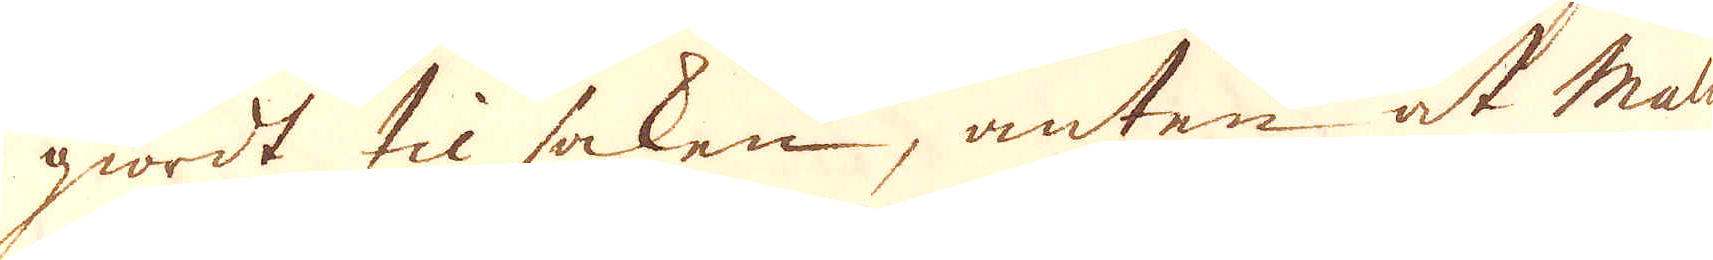giordt til saken, anten at Malm
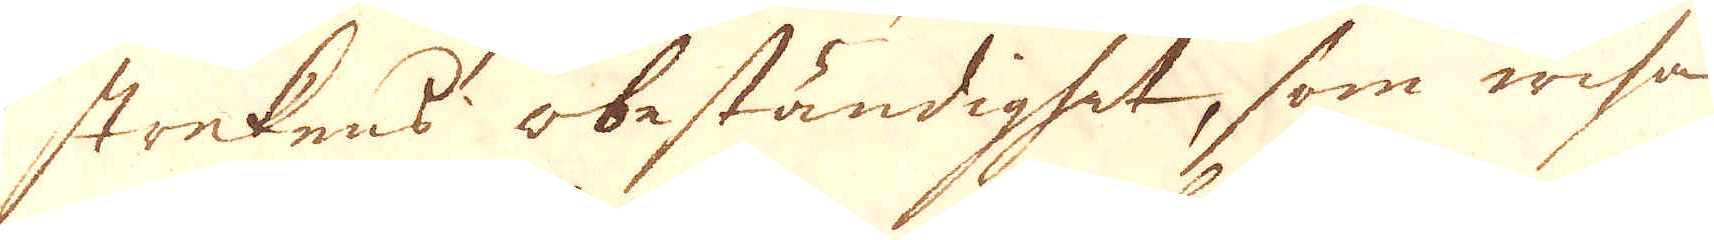strekens obeständighet, som wisa
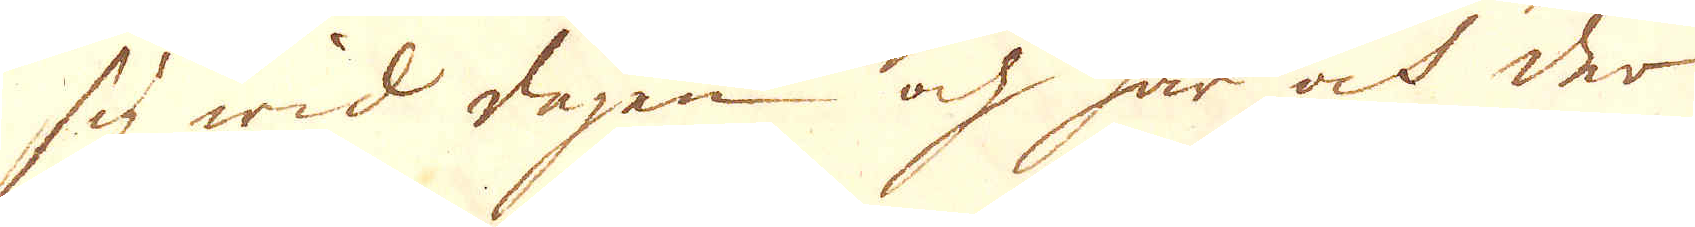sig wid dagen och här och der
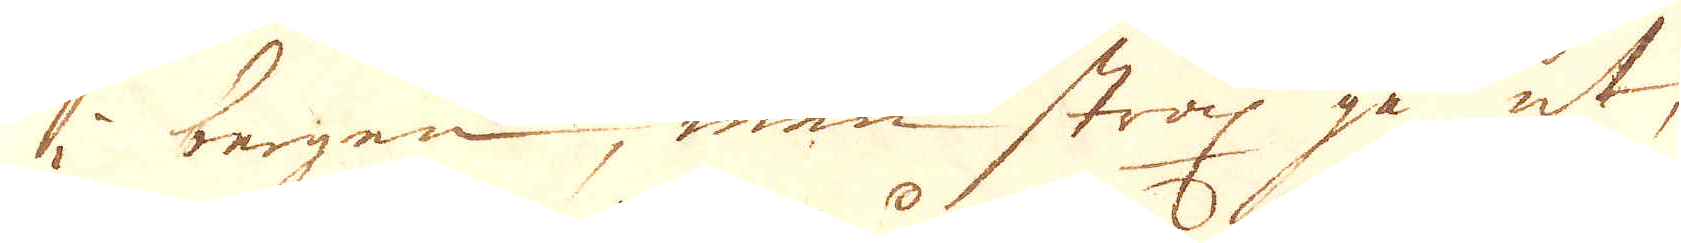i bergen, men strax gå ut,
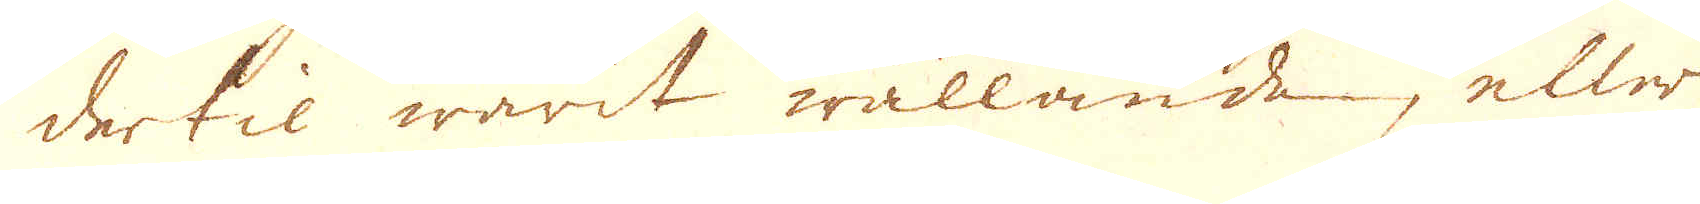dertil warit wållande, eller
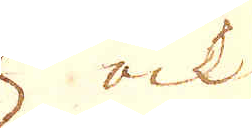ock
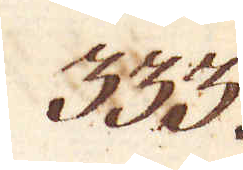333.
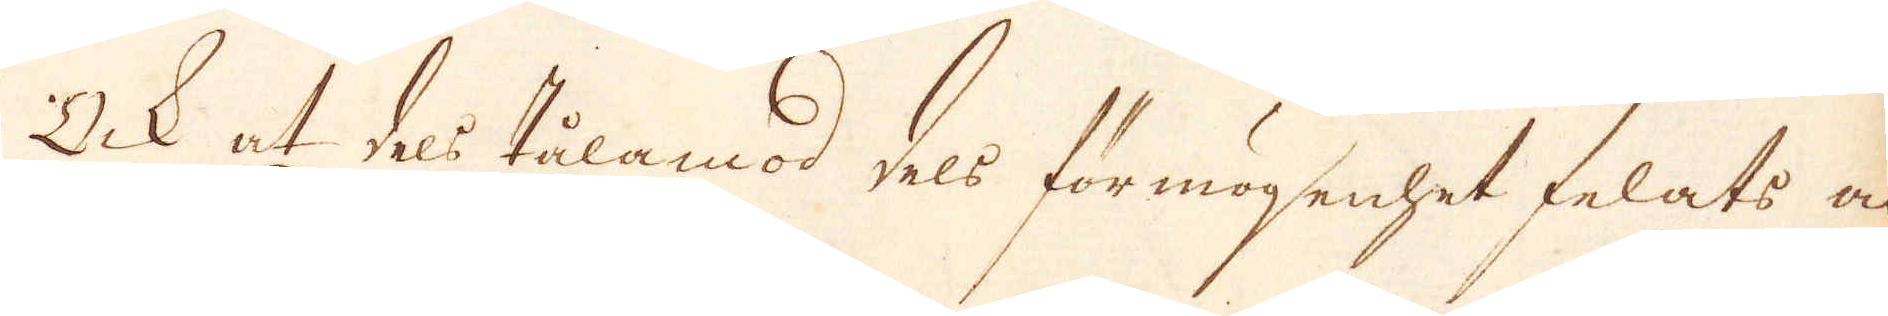Ock at dels tålamod dels för mögenhet felats at
